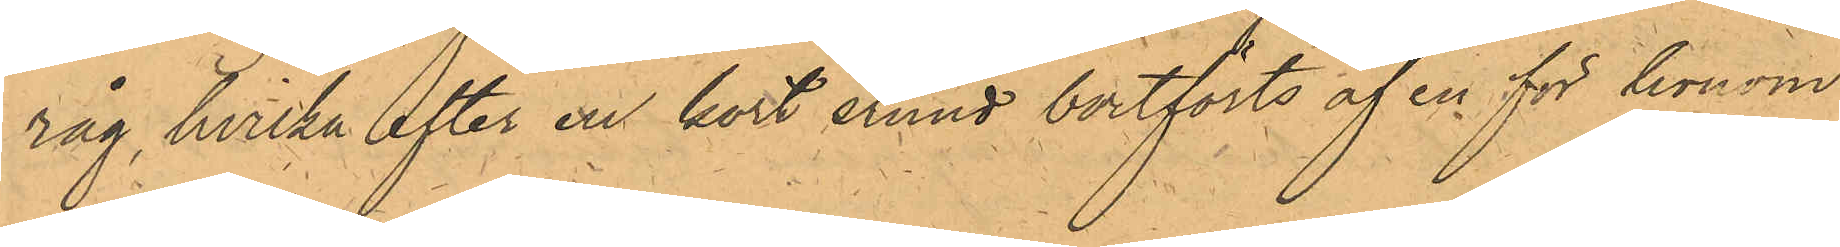råg, hvilka efter en kort stund bortförts af en för honom
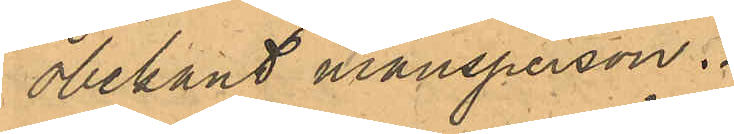obekant mansperson.
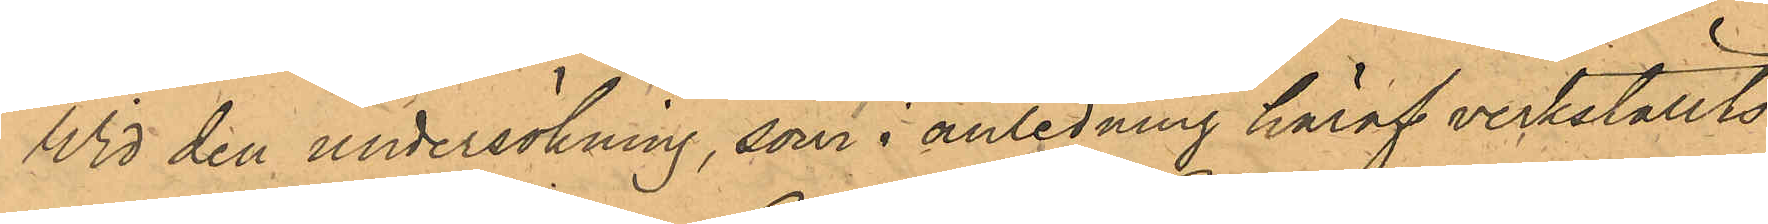Wid den undersökning, som i anledning häraf verkställts
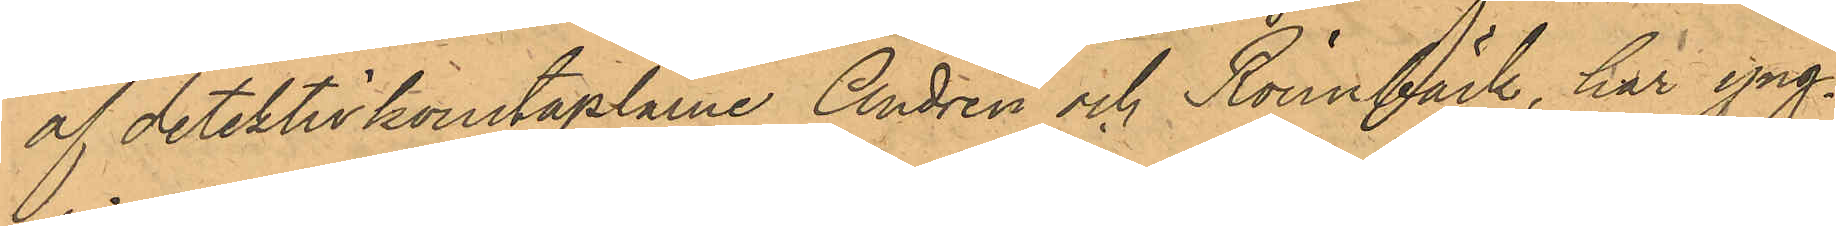af detektivkonstaplarne Andrén och Rönnbäck, har yng¬
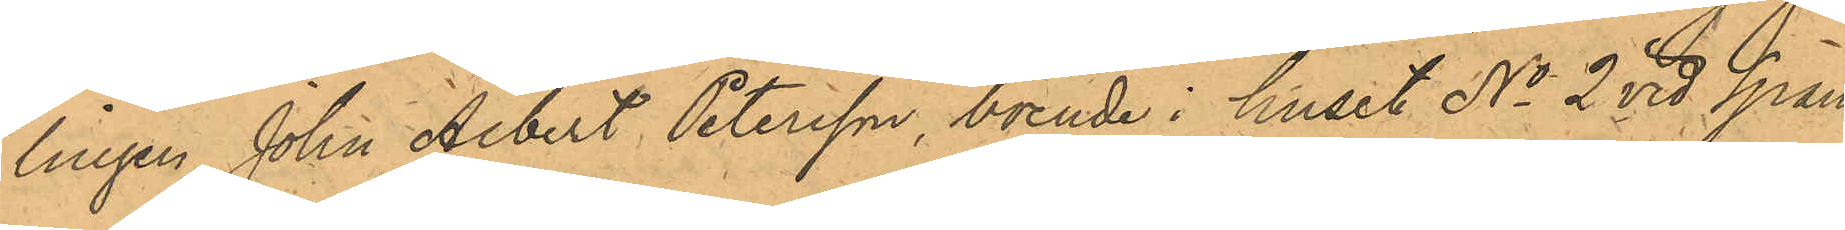lingen John Albert Petersson, boende i huset No 2 vid Span¬
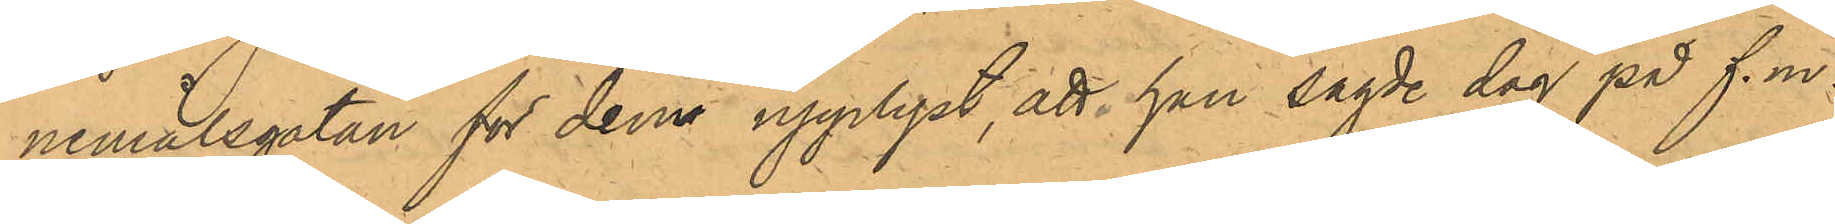nemålsgatan för dem upplyst, att han sagde dag på f.m.
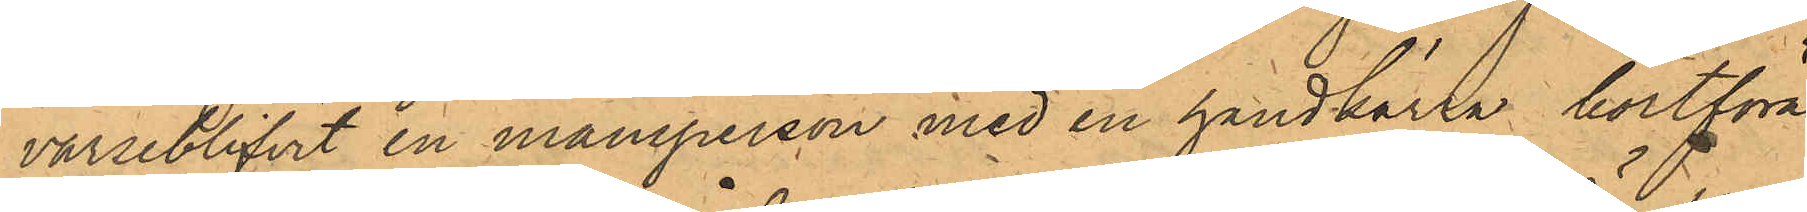varseblifvit en mansperson med en handkärra bortföra
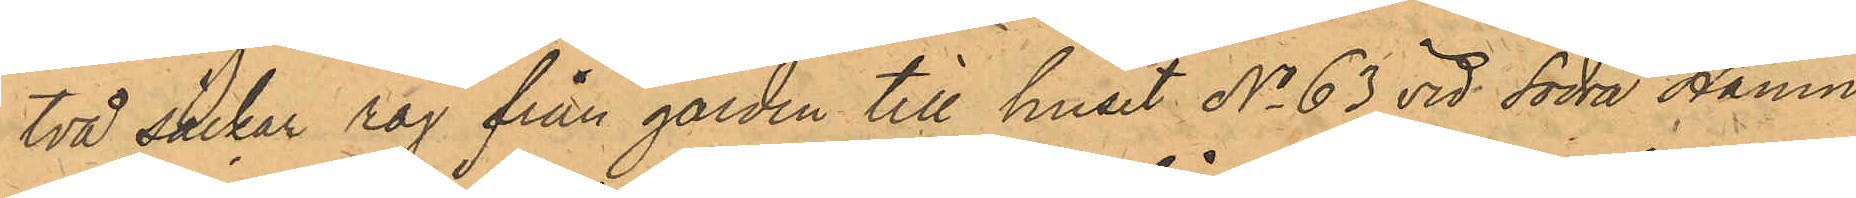två säckar råg från gården till huset No 63 vid Södra Hamn¬
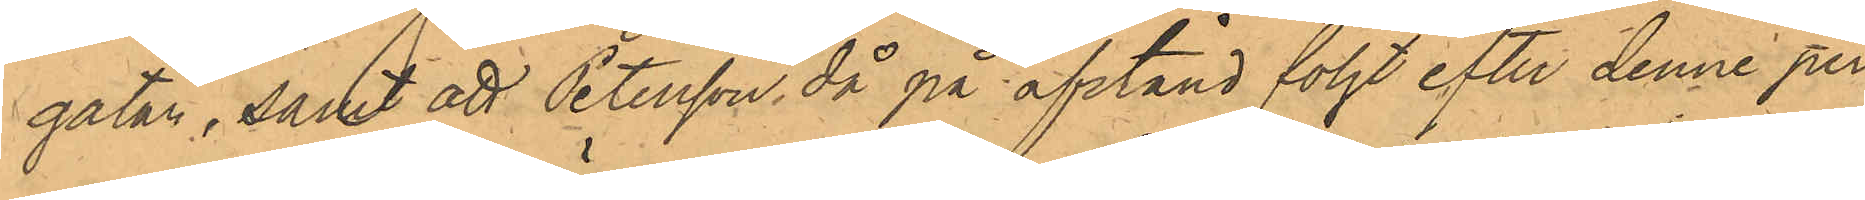gatan, samt att Petersson, då på afstånd följt efter denne per¬
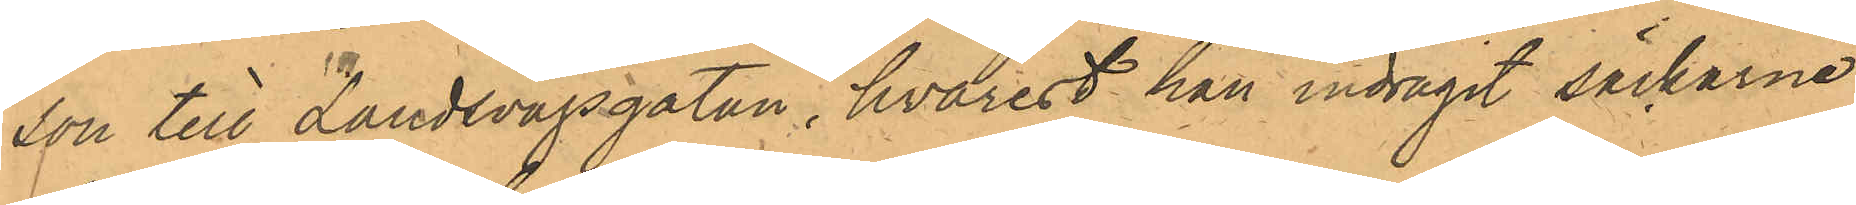son till Landsvägsgatan, hvarest han indragit säckarna
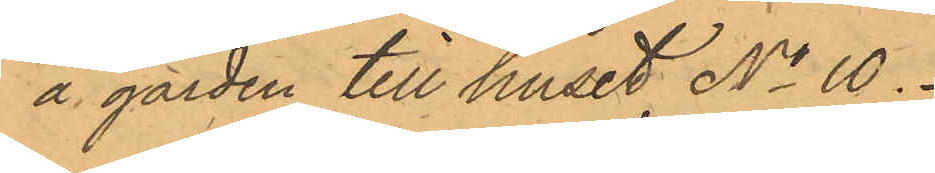å gården till huset No 10.
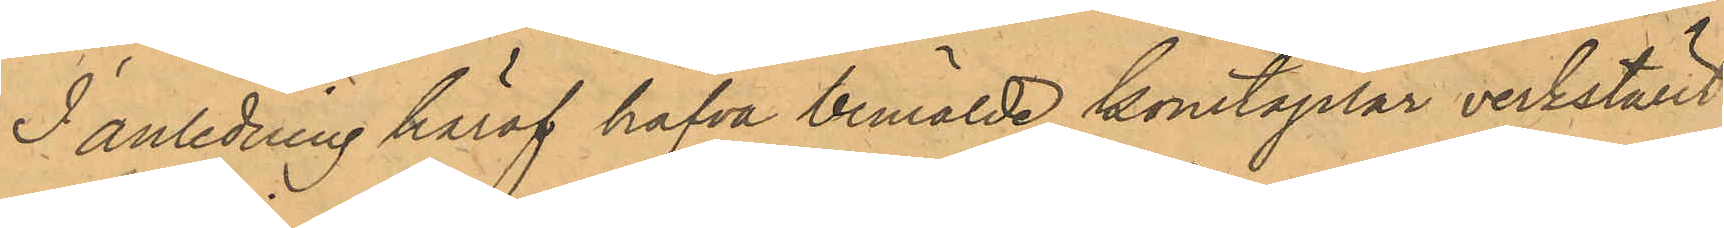I anledning häraf hafva bemälde konstaplar verkställt
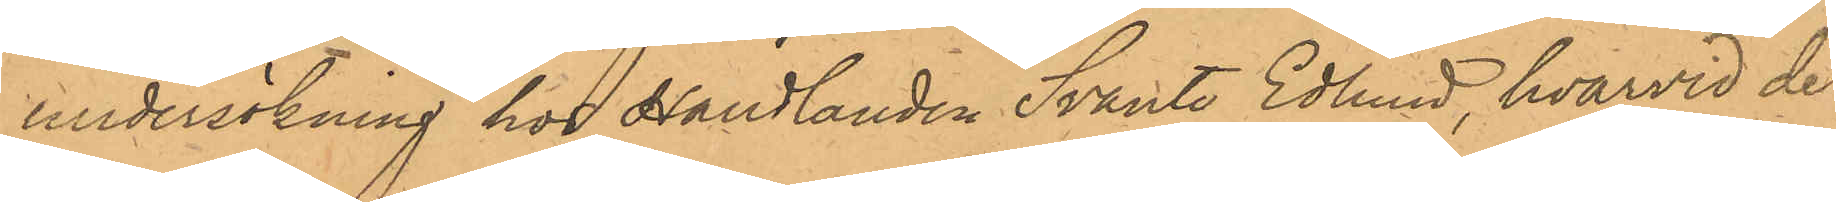undersökning hos Handlanden Svante Edlund, hvarvid de
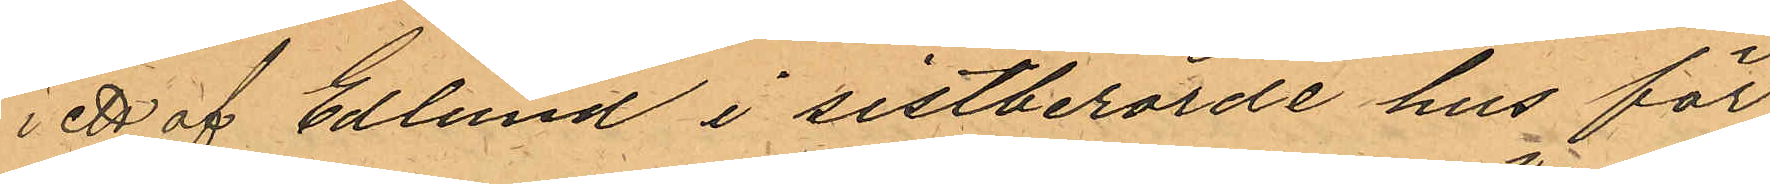 i ett af Edlund i sistberörde hus för¬
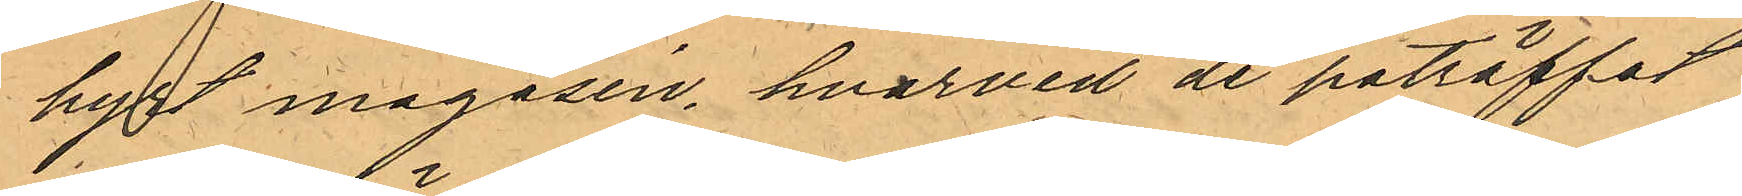hyrt magasin, hvarvid de påträffat
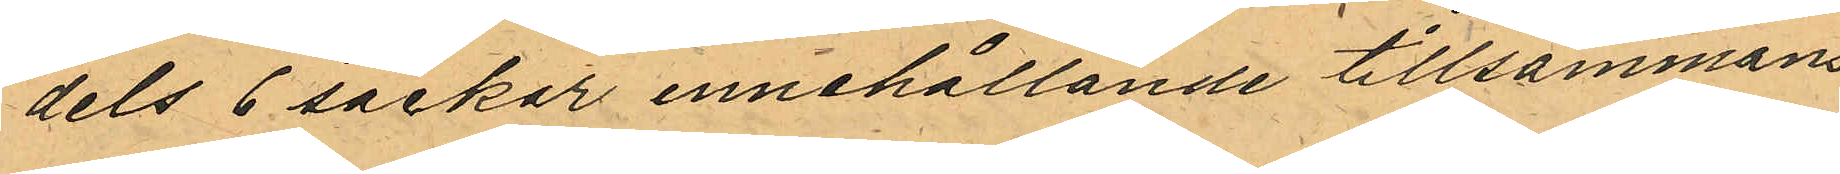dels 6 säckar innehållande tillsammans
